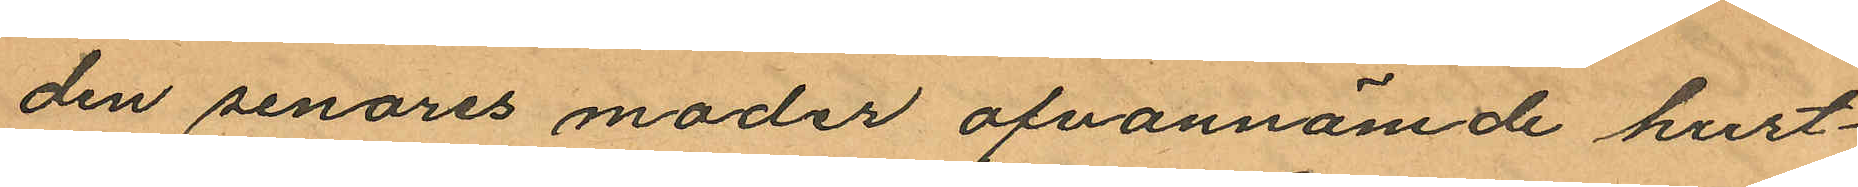den senares moder ofvannämde hust¬
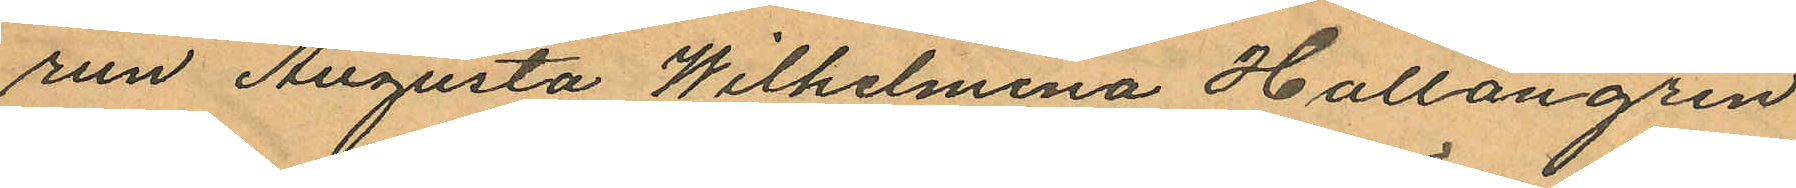run Augusta Wilhelmina Hallongren
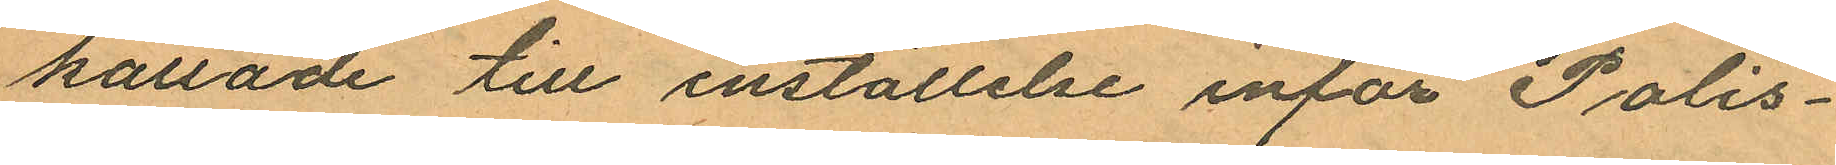kallade till inställelse inför Polis¬
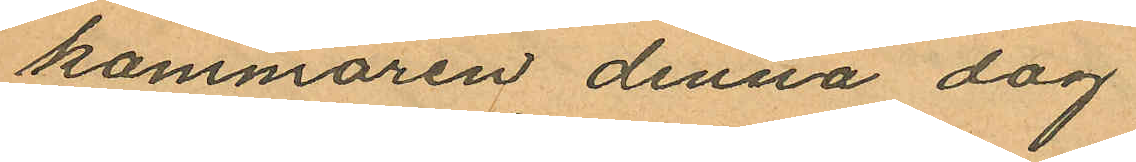kammaren denna dag.
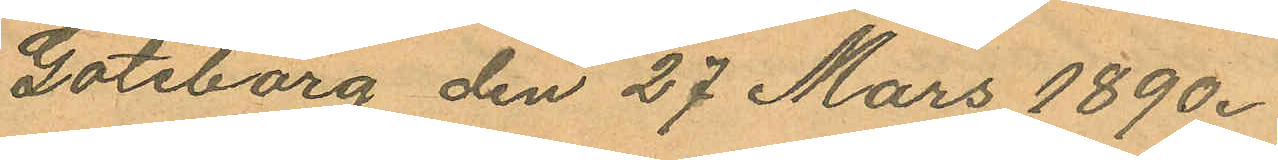Göteborg den 27 Mars 1890.
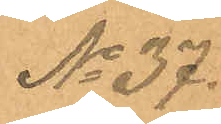No 37.
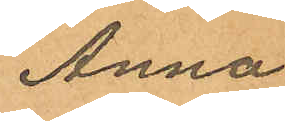Anna
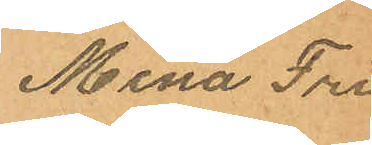Mina Fri¬
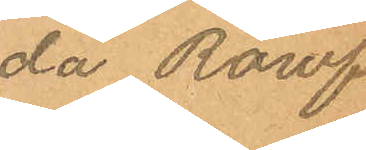da Röwf.
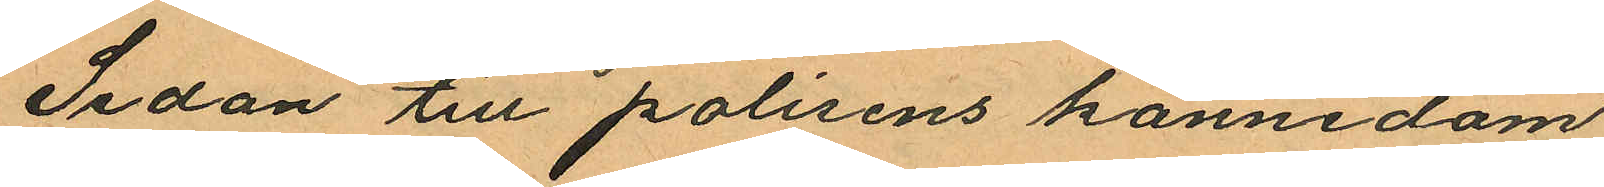Sedan till polisens kännedom
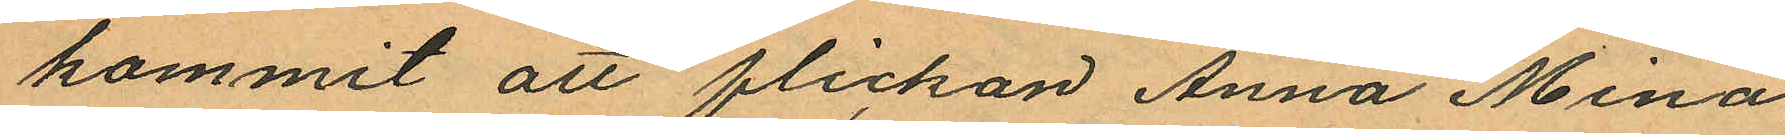kommit att flickan Anna Mina
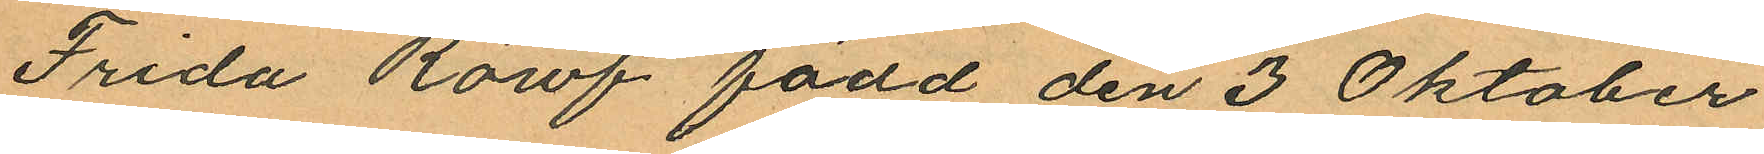Frida Röwf född den 3 Oktober
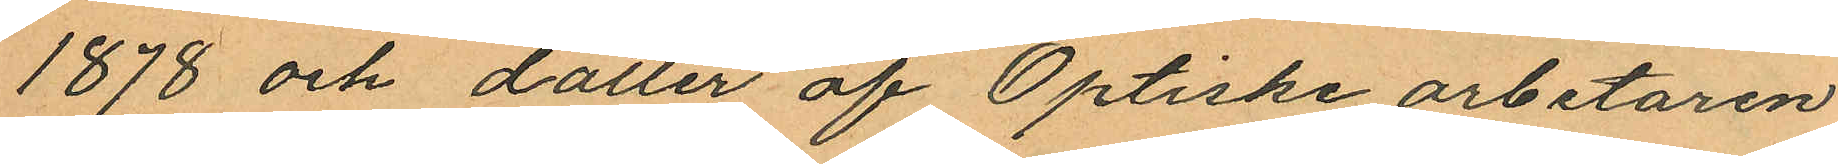1878 och dotter af Optiske arbetaren
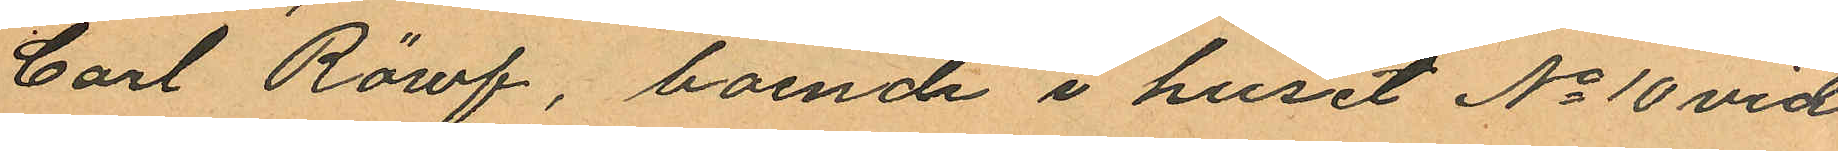Carl Röwf, boende i huset No 10 vid
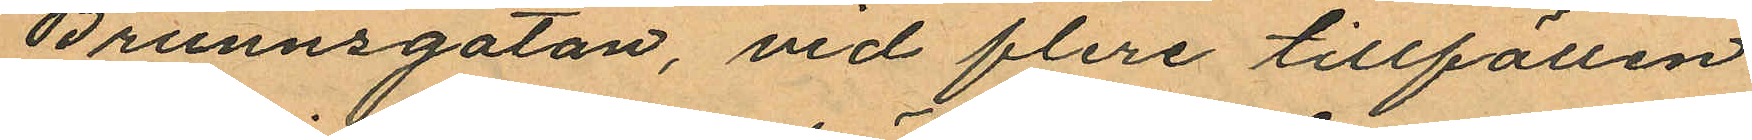Brunnsgatan, vid flera tillfällen
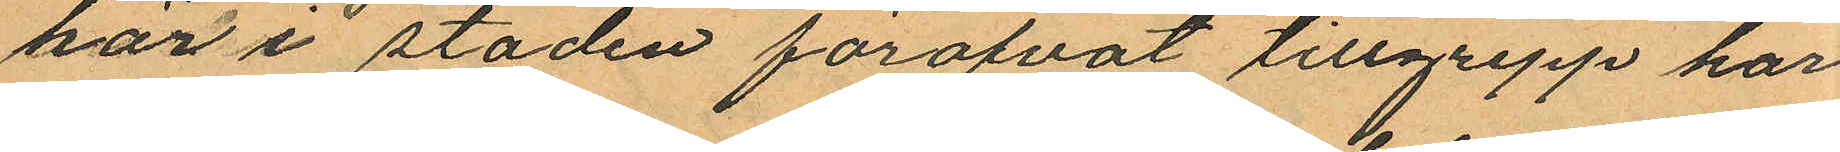här i staden föröfvat tillgrepp har
